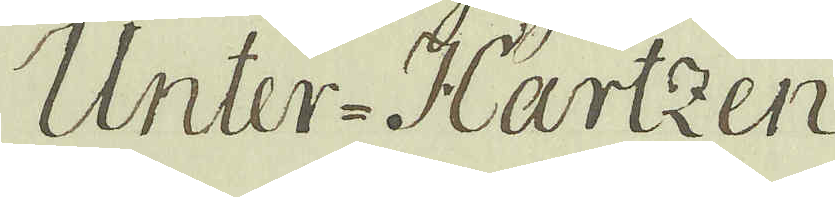Unter-Hartzen
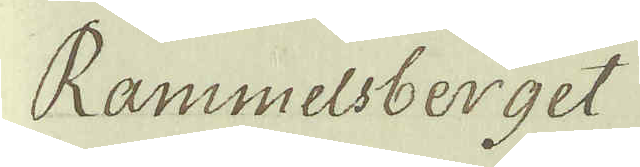Rammelsberget
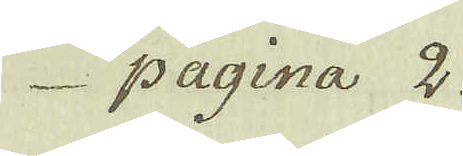pagina 2.
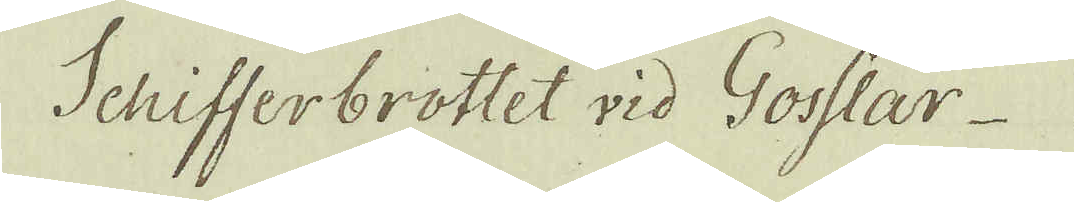Schifferbrottet vid Gosslar
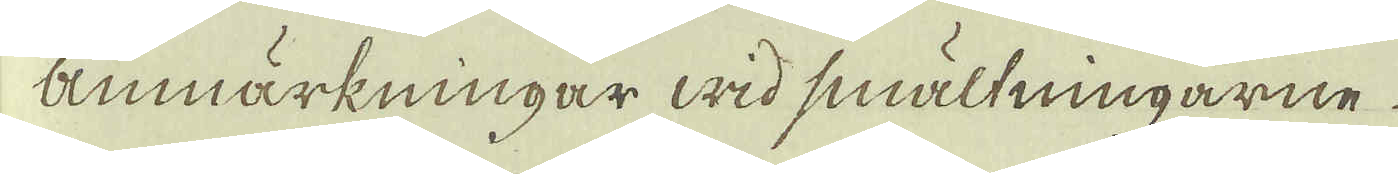anmärkningar wid smältningarne
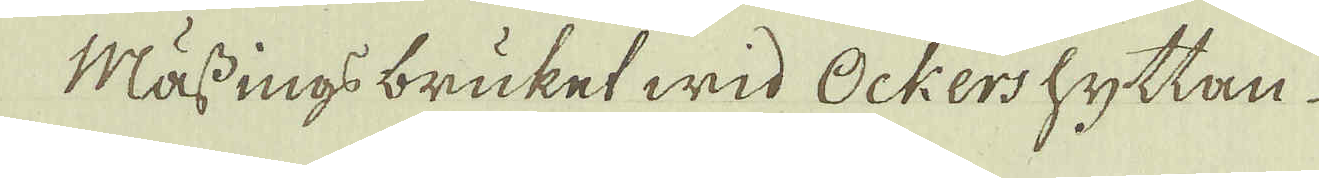Mässings bruket wid Ockershyttan
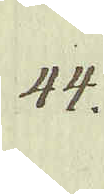44.
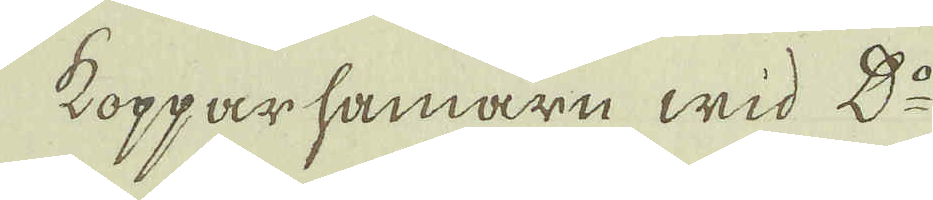Kopparsamarn wid D:o
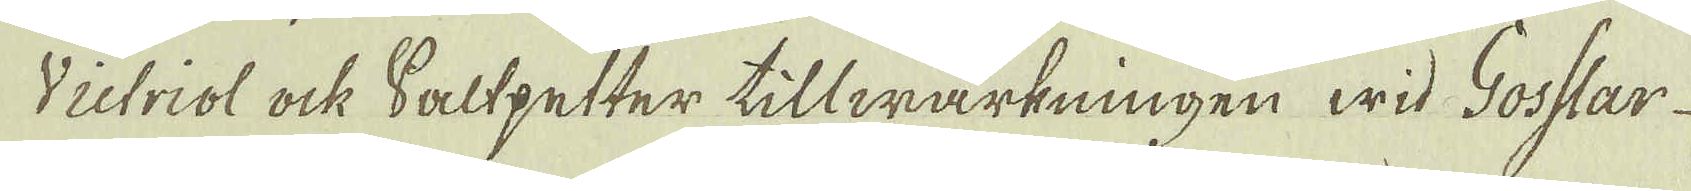Victriol ock Saltpetter tillwärkningen wid Gosslar
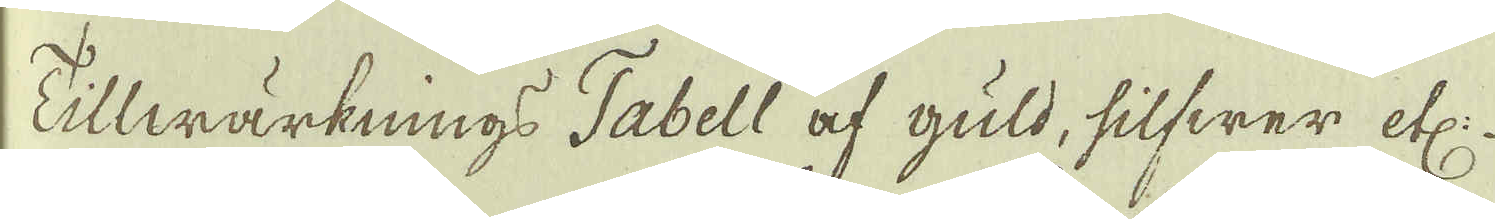Tillwärknings Tabell af guld, silfwer etc:
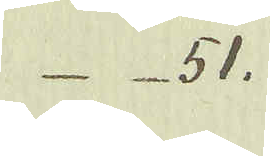51.
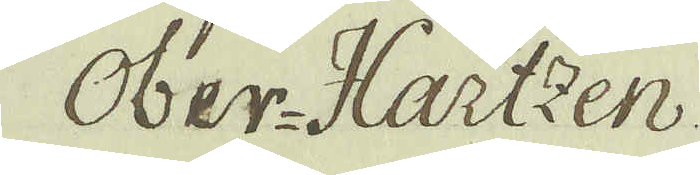Ober-Hartzen.
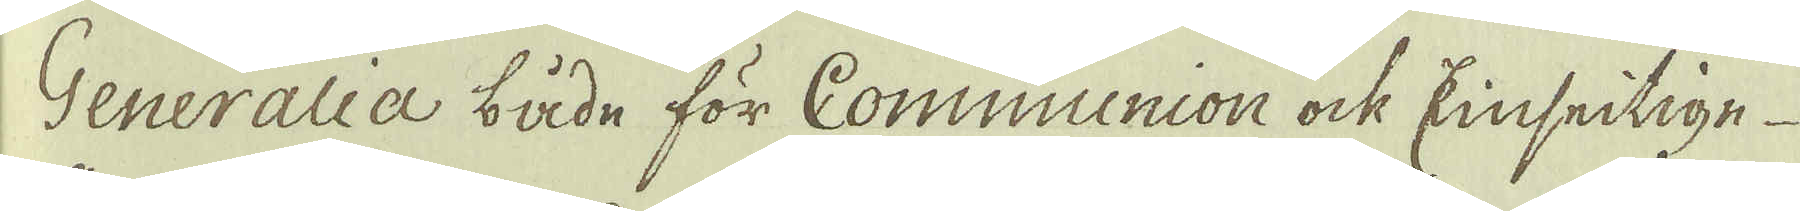Generalia både för Communion ock Einseitige
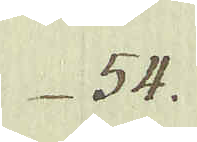54.
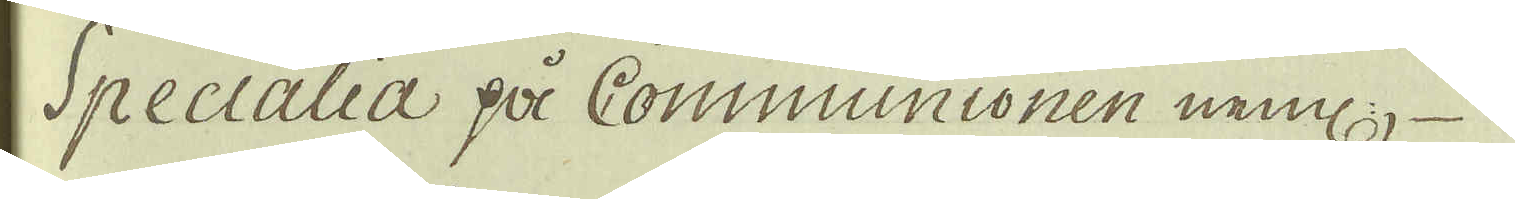Specialia på Communionen neml:
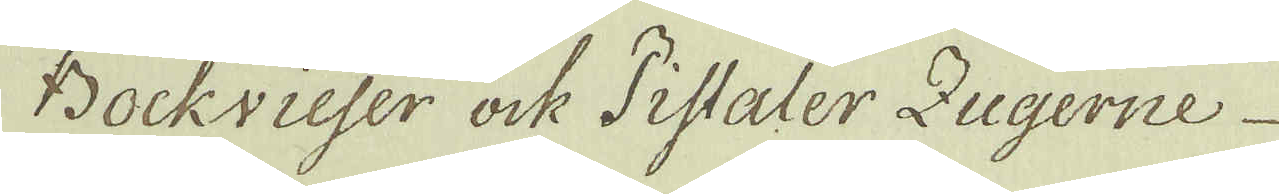Bockvieser ock Pistaler Zugerne
